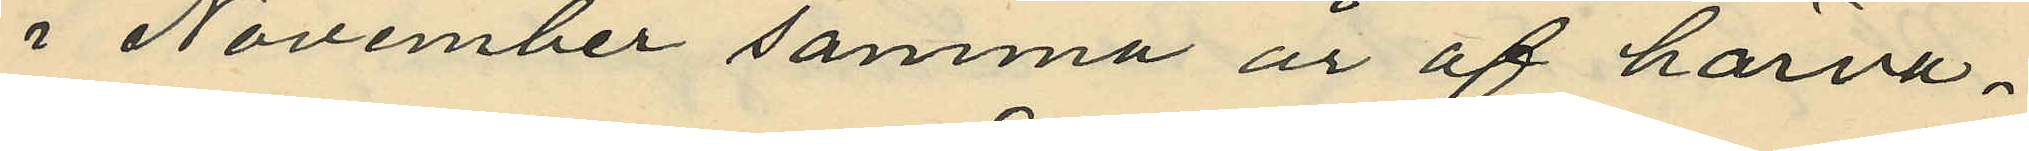i November samma år af härva¬
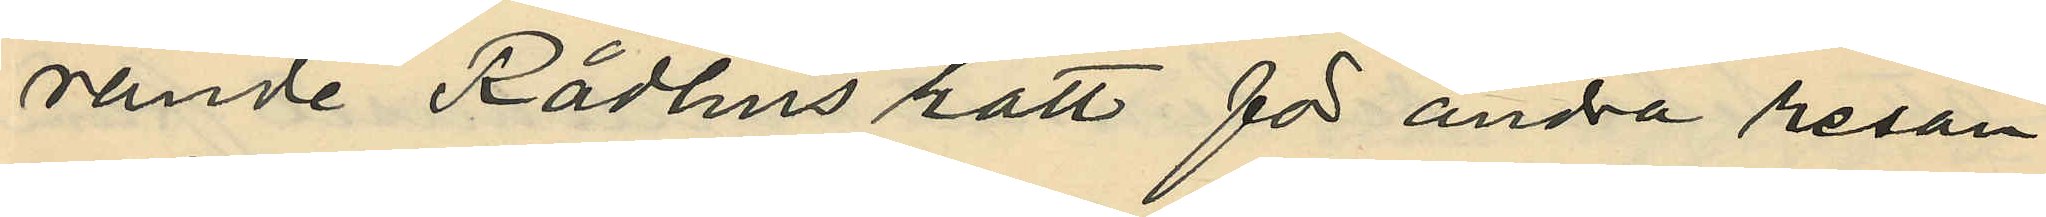rande Rådhus rätt för andra resan
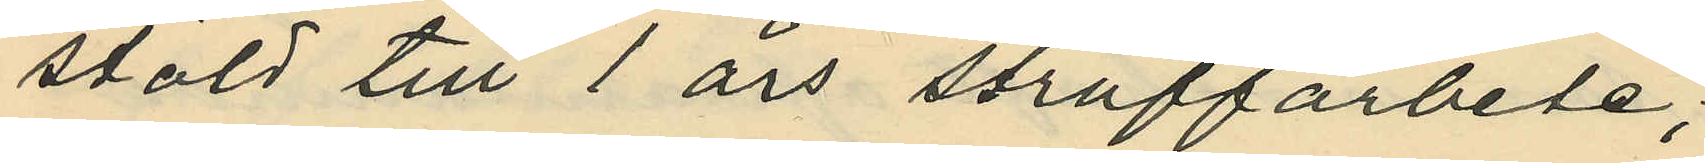stöld till 1 års straffarbete;
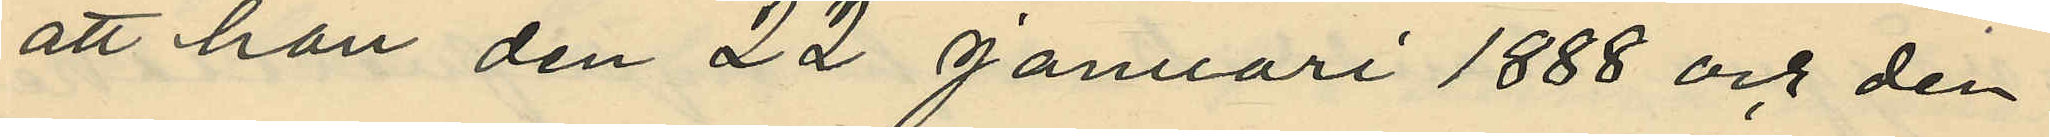att han den 22 Januari 1888 och den
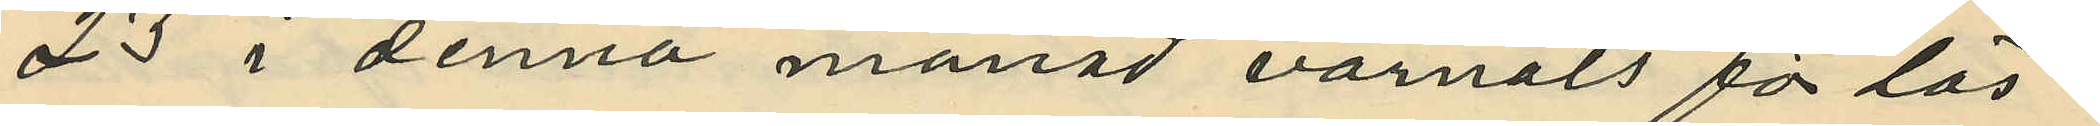23 i denna månad varnats för lös¬
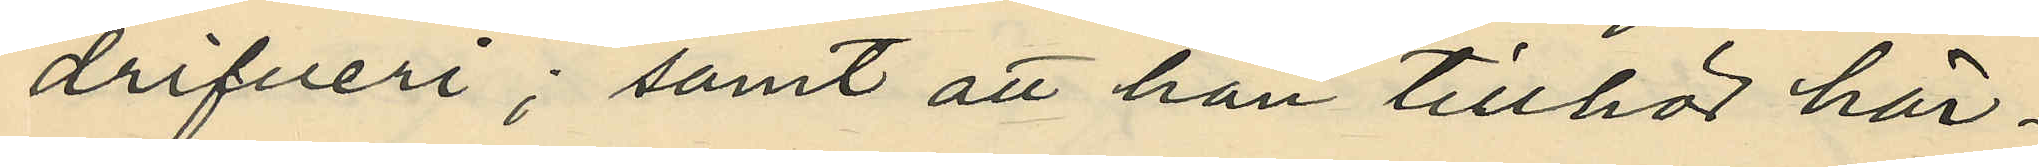drifveri; samt att han tillhör här¬
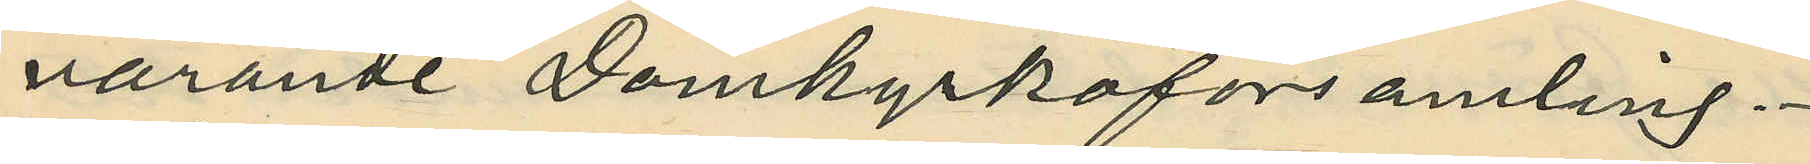varande Domkyrkoförsamling.
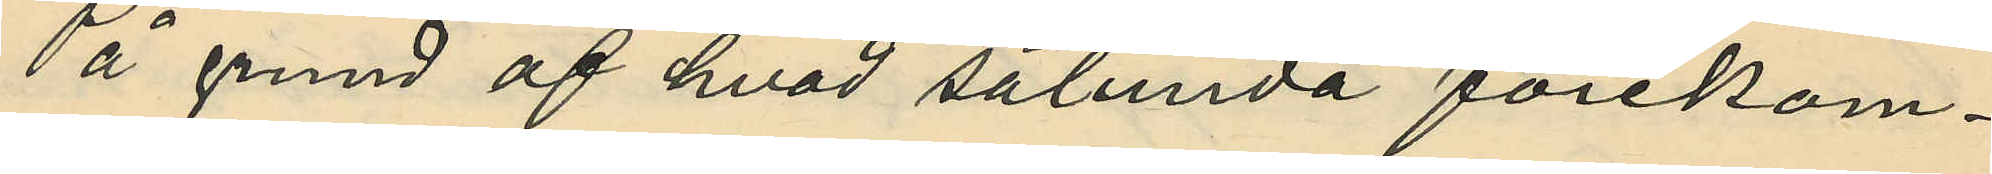På grund af hvad sålunda förekom¬
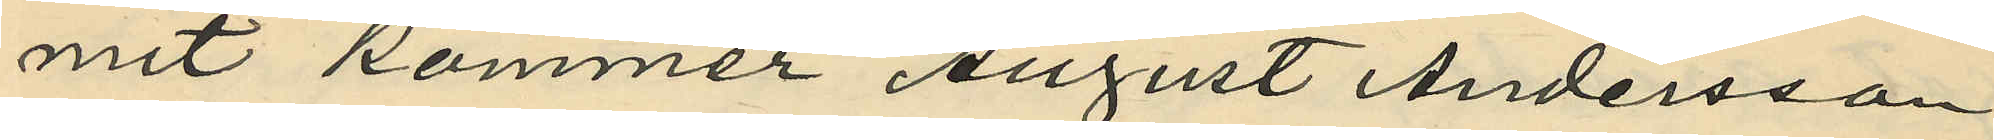mit kommer August Andersson
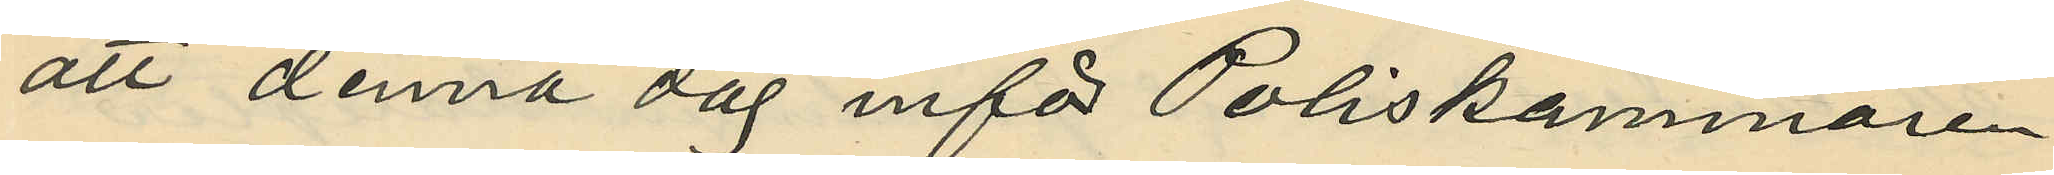att denna dag inför Poliskammaren
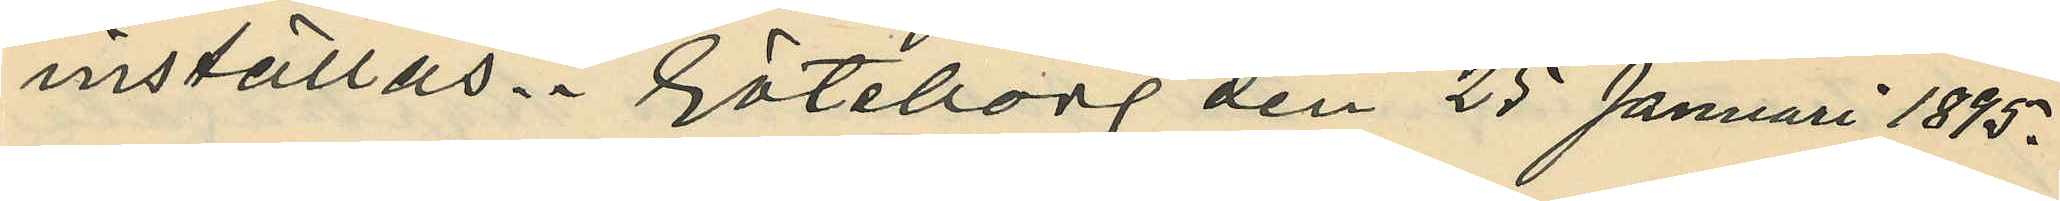inställas. Göteborg den 25 Januari 1895.
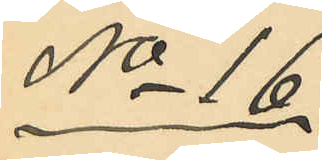No 16.
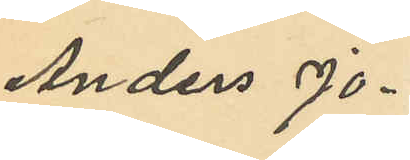Anders Jo¬
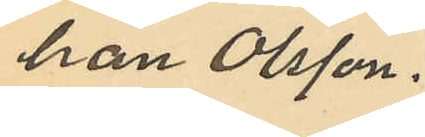han Olsson.
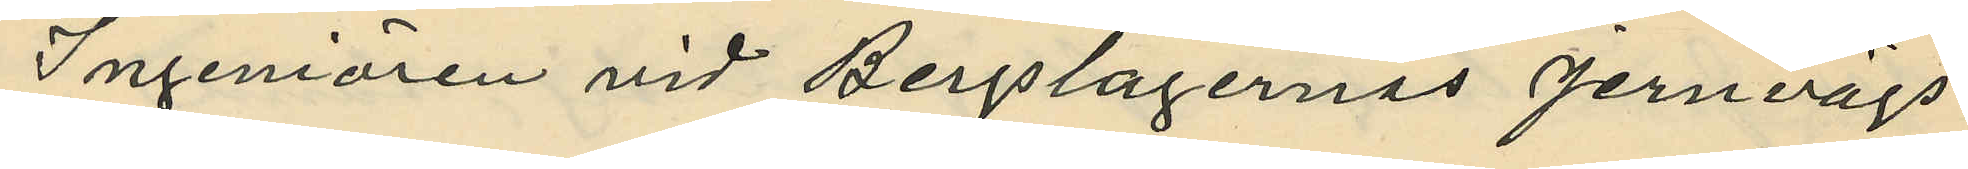Ingeniören vid Bergslagernas Jernvägs
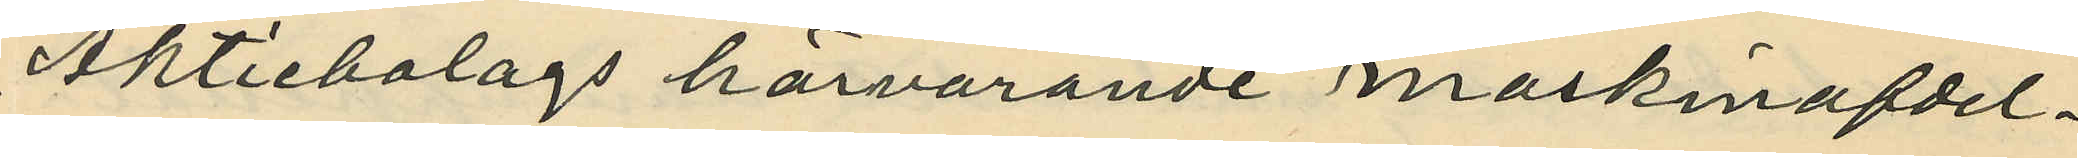Aktiebolags härvarande maskinafdel¬
